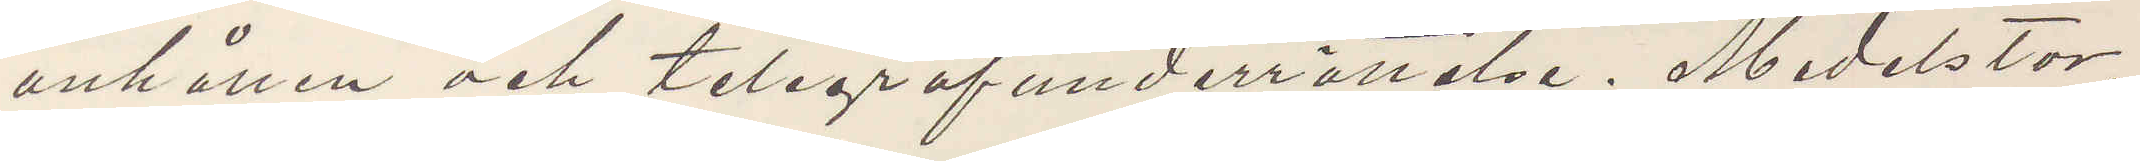anhållen och telegrafunderrättelse. Medelstor
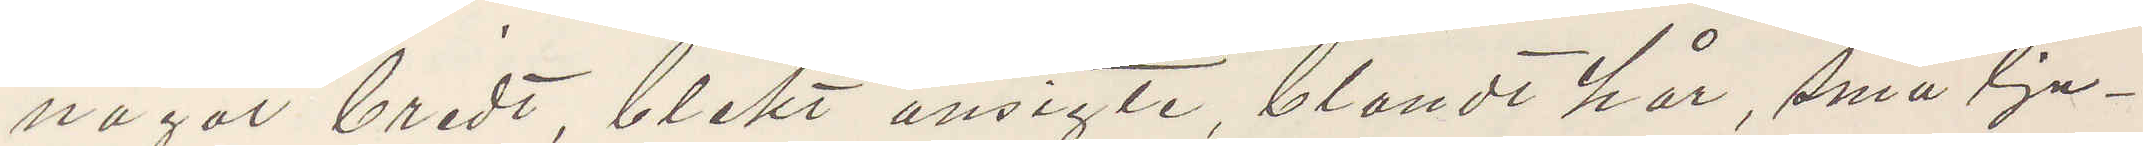något bredt, blekt ansigte, blondt hår, små lju¬
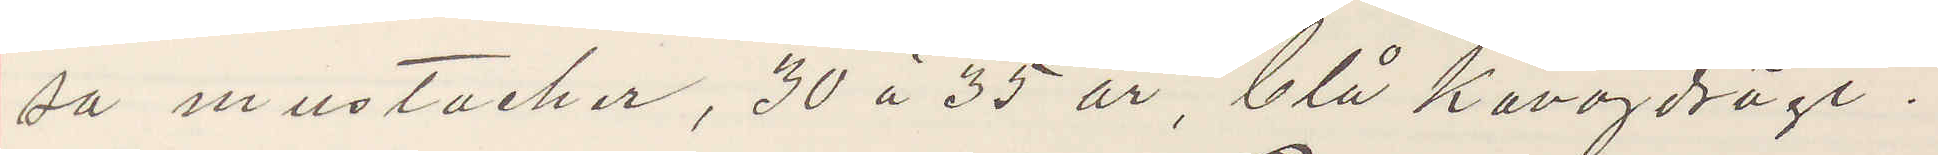sa mustacher, 30 à 35 år, blå kavajdrägt.
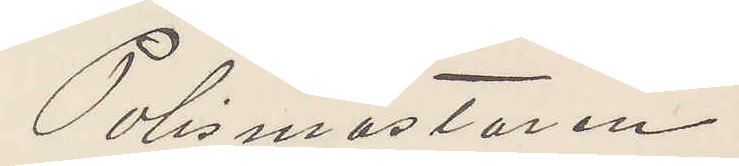Polismästaren
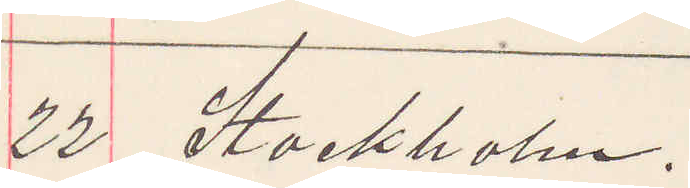22 Stockholm.
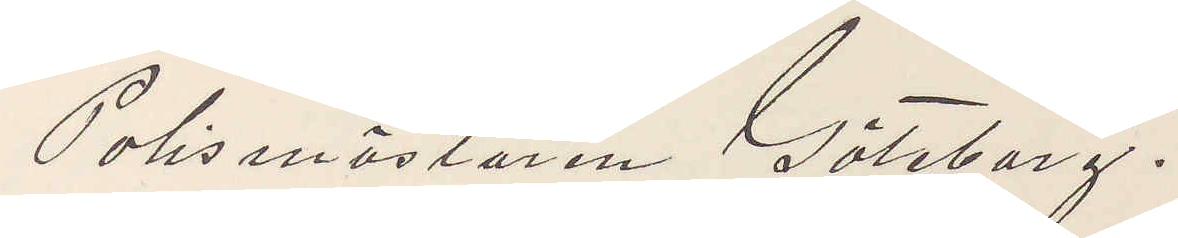Polismästaren Göteborg.
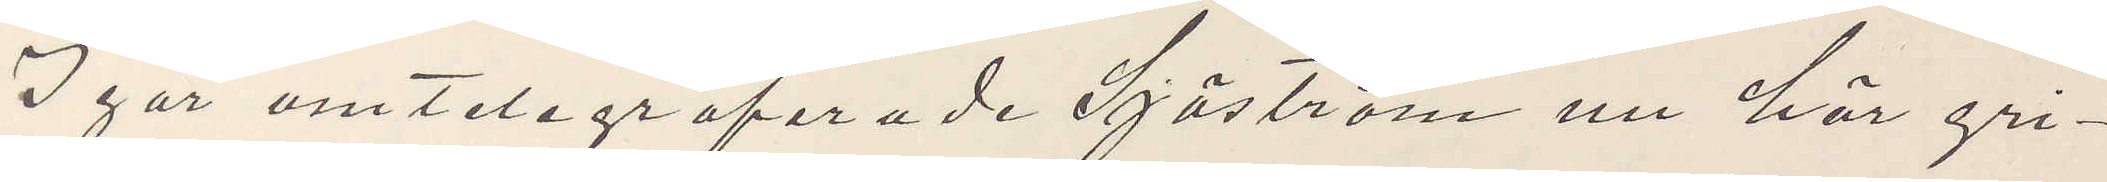I går omtelegrafarade Sjöström nu här gri¬
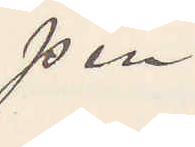pen.
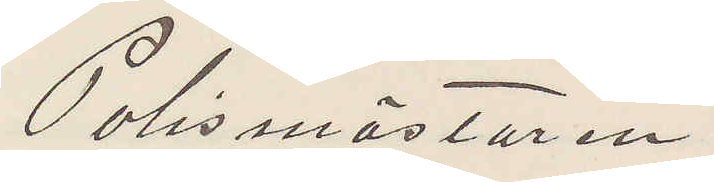Polismästaren.
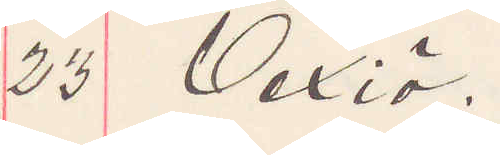23 Vexiö.
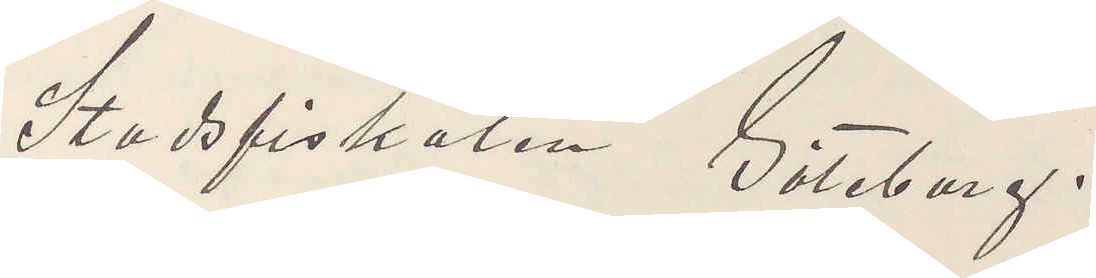Stadsfiskalen Göteborg.
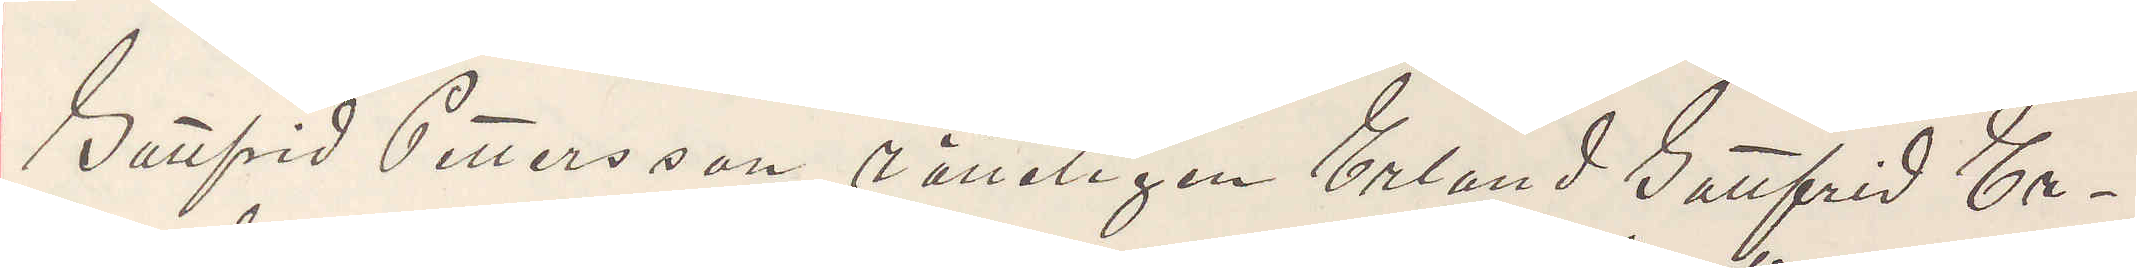Gottfrid Pettersson rätteligen Erland Gottfrid Er¬
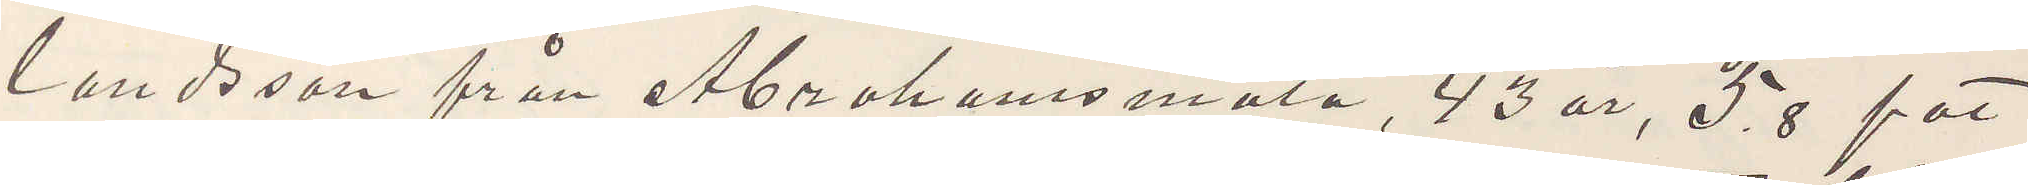landsson från Abrahamsmåla, 43 år, 5,8 fot
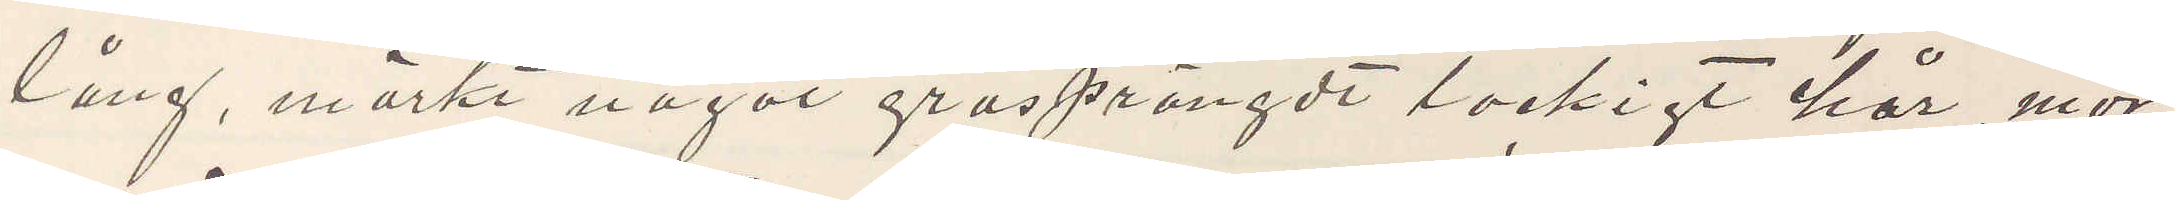lång, mörkt något gråsprängdt lockigt hår, mör¬
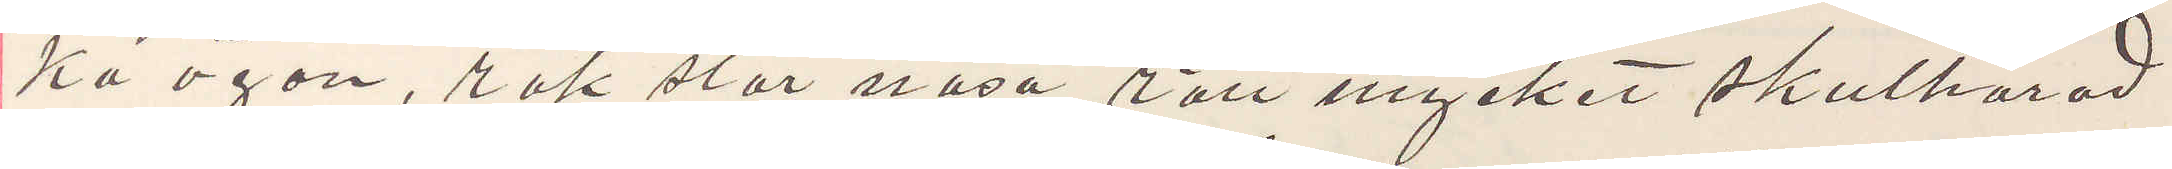ka ögon, rak stor näsa, rätt mycket skulhårad
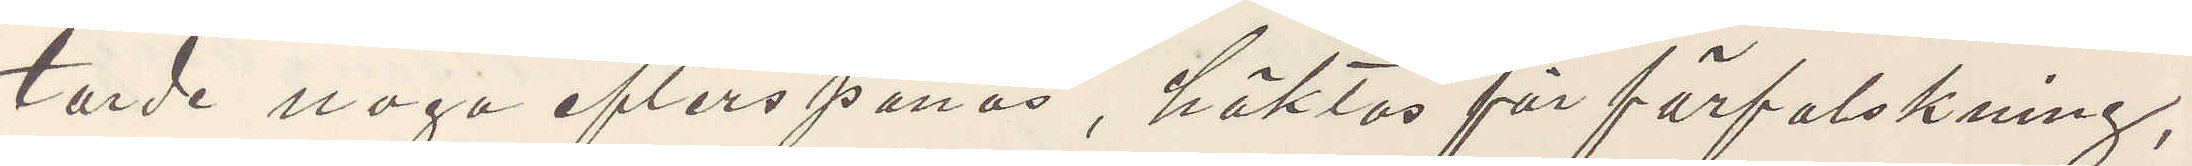torde nogo efterspanas, häktas för förfalskning,
